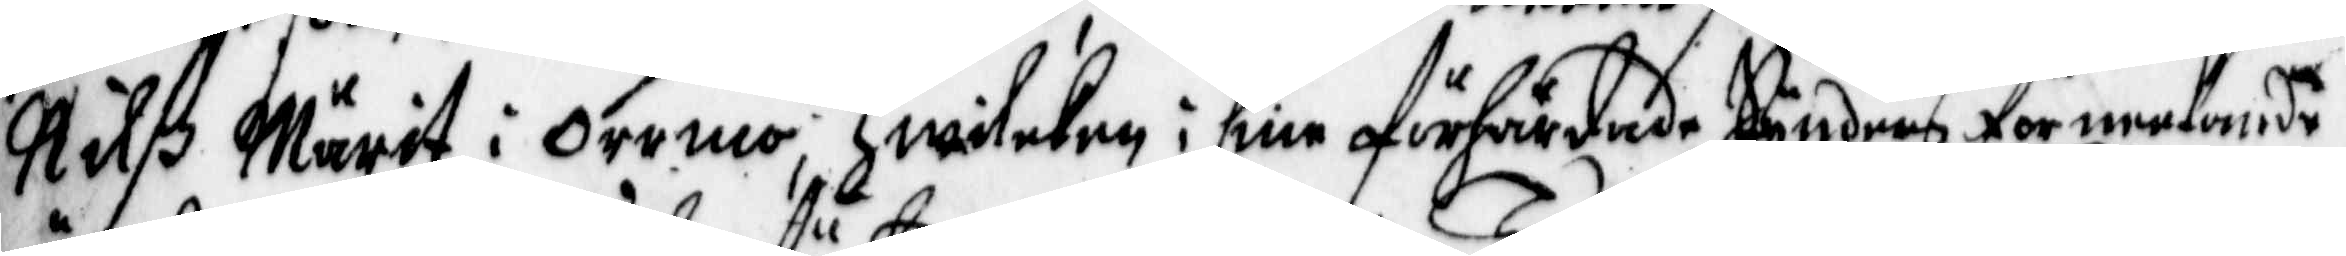Nilß Märit i Orrmo, Hwilcken i sine oförhärdade Synders förneekande
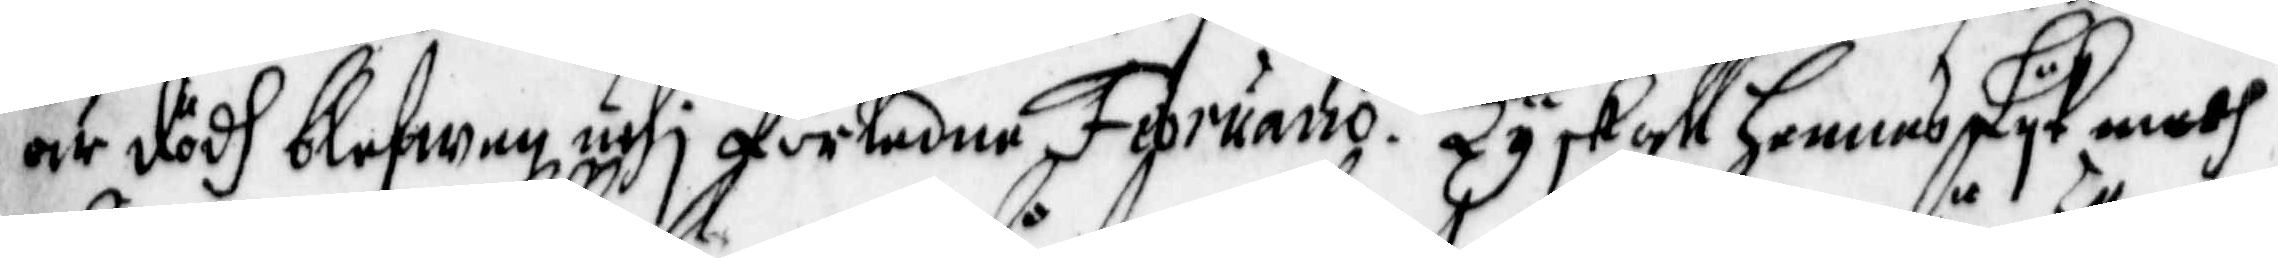är dödh blefwen uthj förledne Fenruario. Ty skall hennes Lyk medh
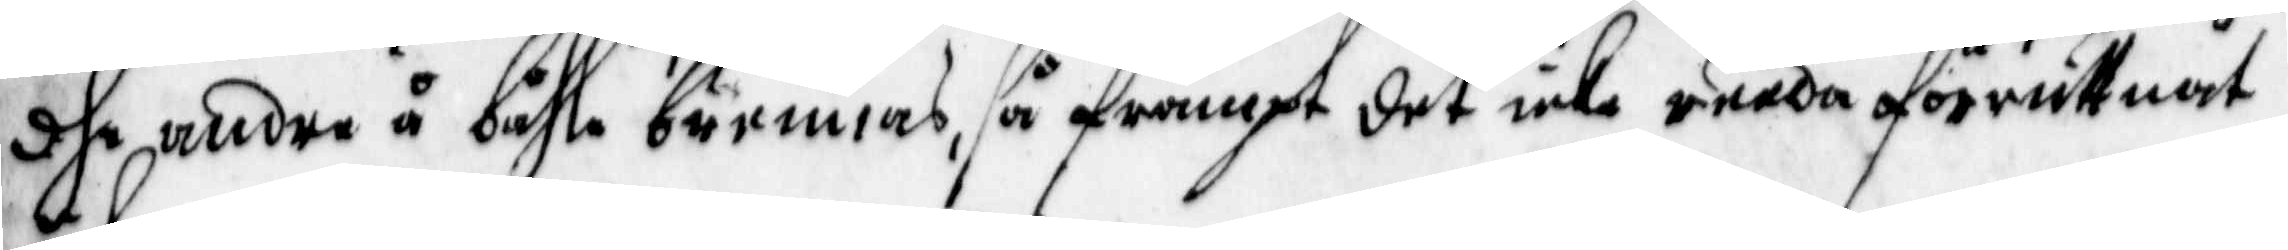dhe undre å båhle brännas, så frampt det icke reeda förruttnat
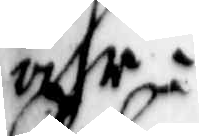ähr:
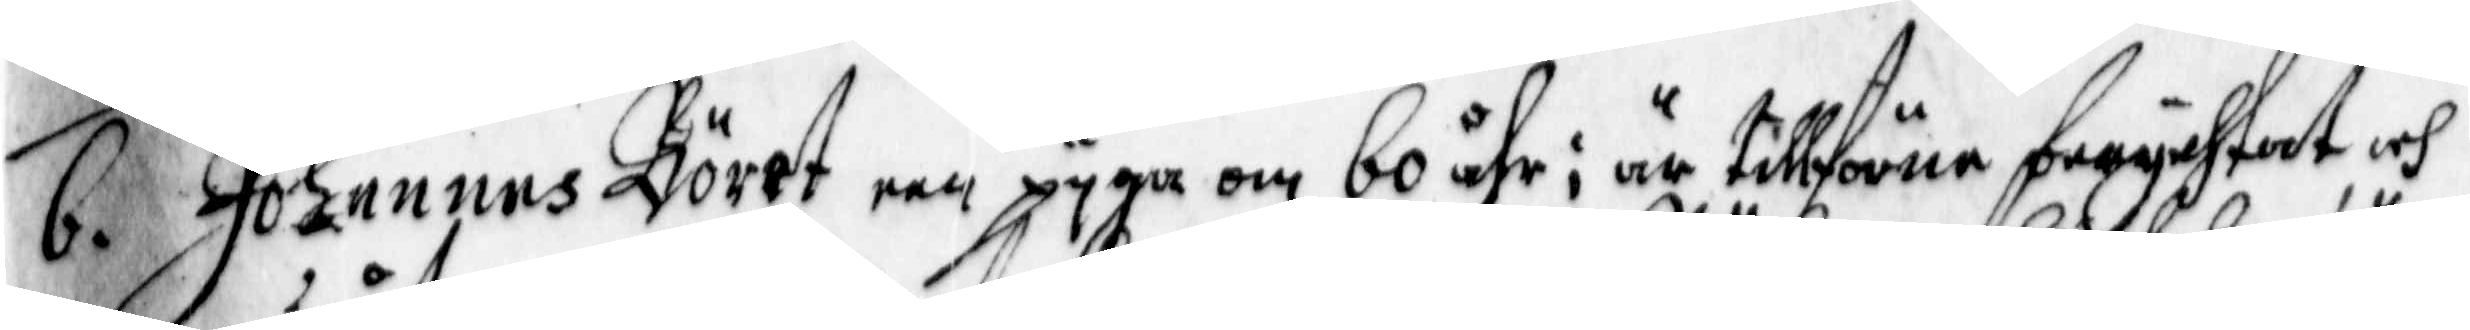6. Johannns Göret een pyga om 60 åhr; är tillförne berychtat och
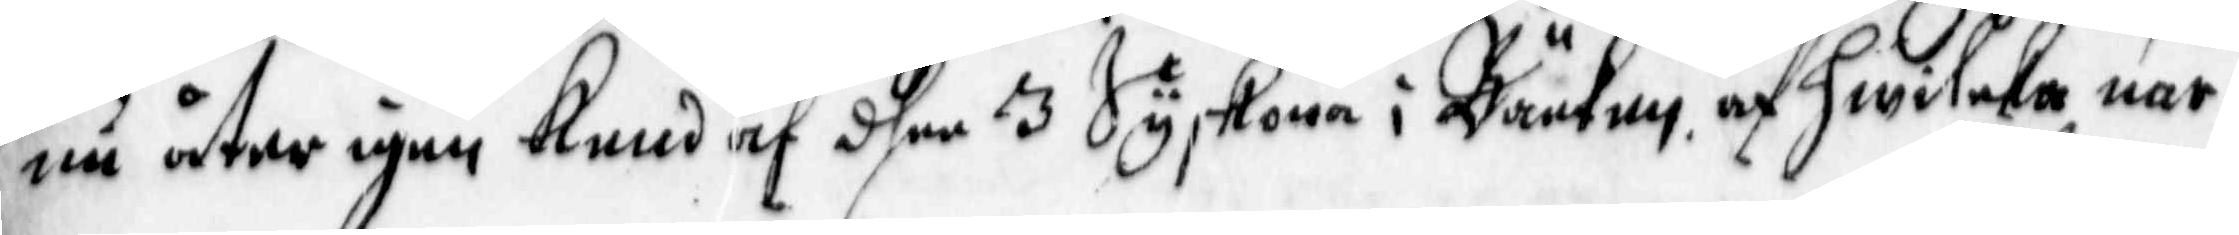nu åter igen kend af dhee 3 Syskona i Bäcken, af hwilka när
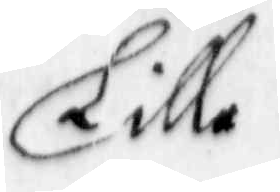Lilla
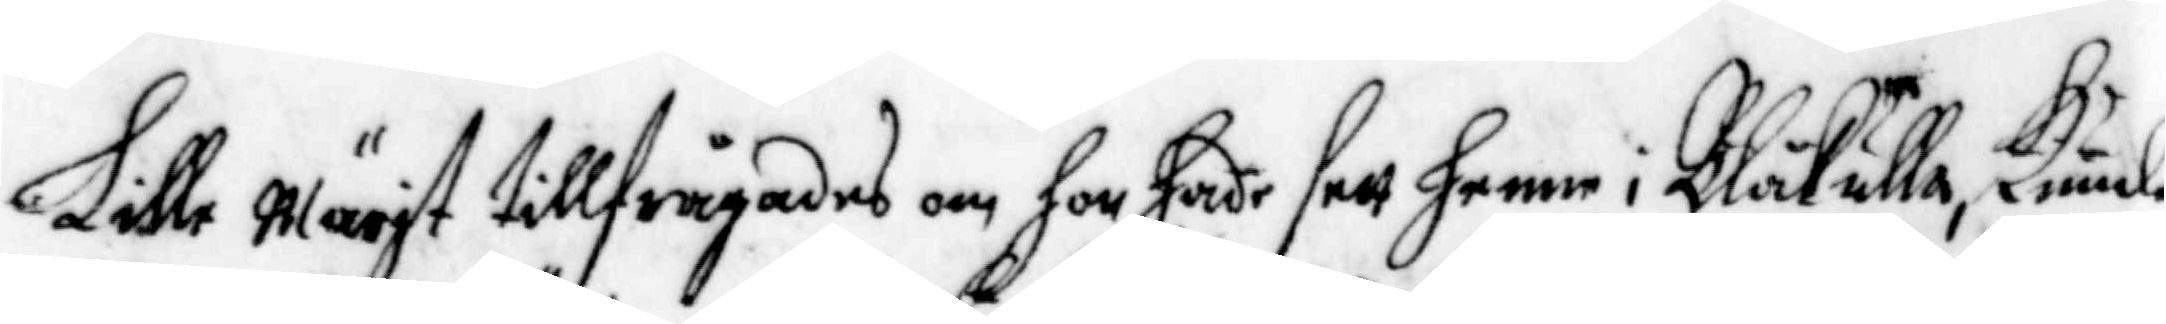Lille Märit tillfrågades om hon hade sett henne i Blåkulla, kunde
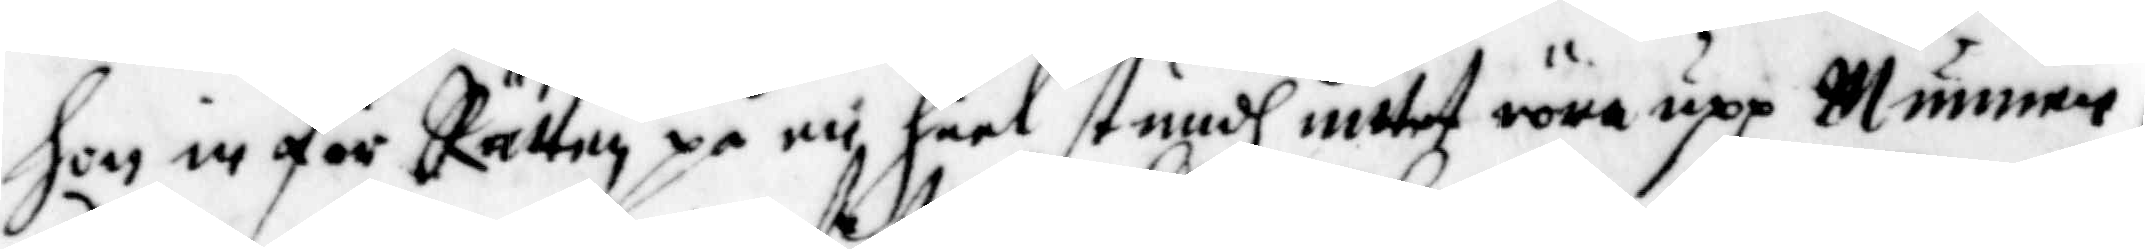hon in för Rätten på en heel stindh inttet röra upp Munnen,
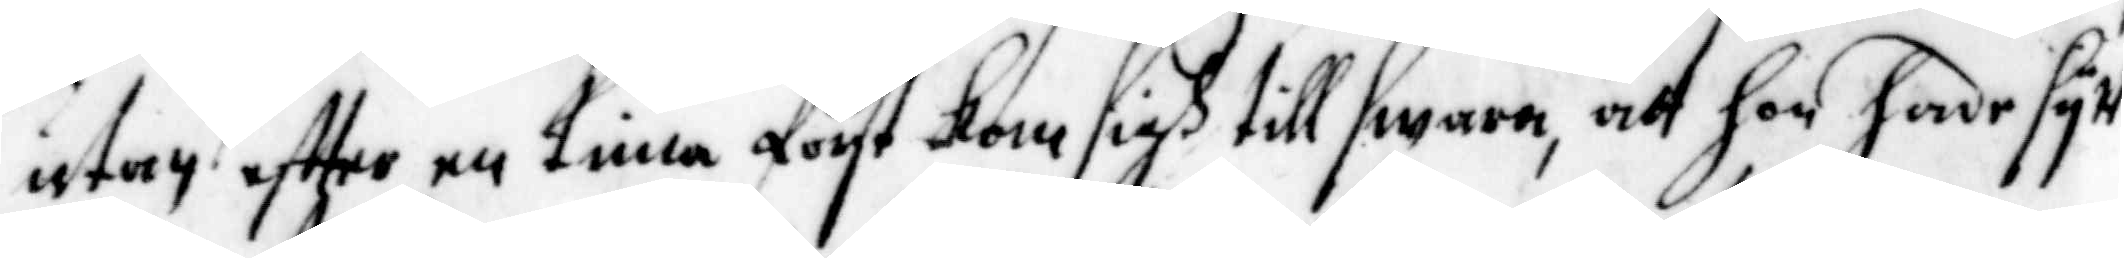utan effter en tima först kom sigh till swara, att hon hade sytt
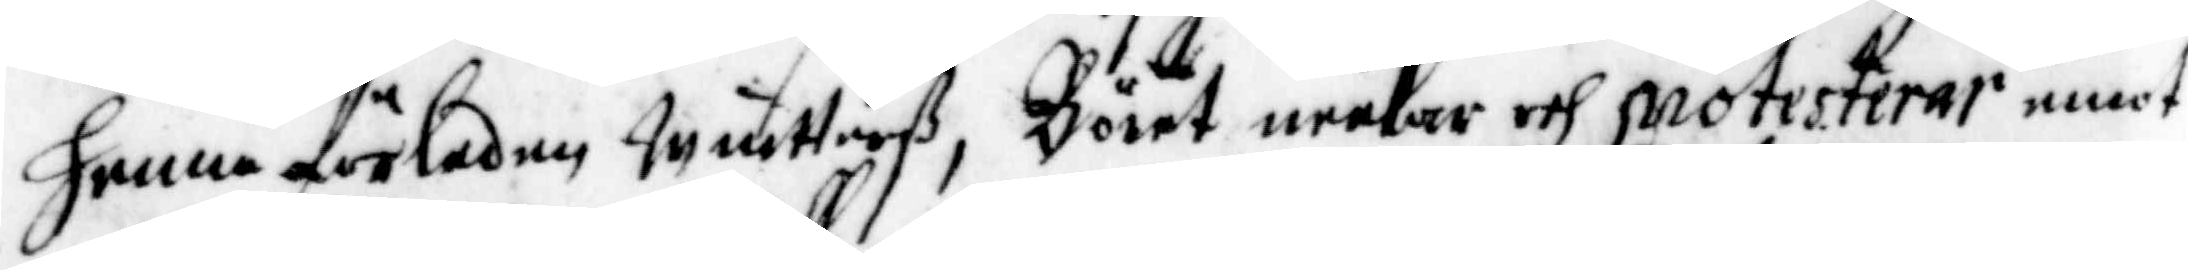henne förledne winttraß, Böret neekar och protesterar emot
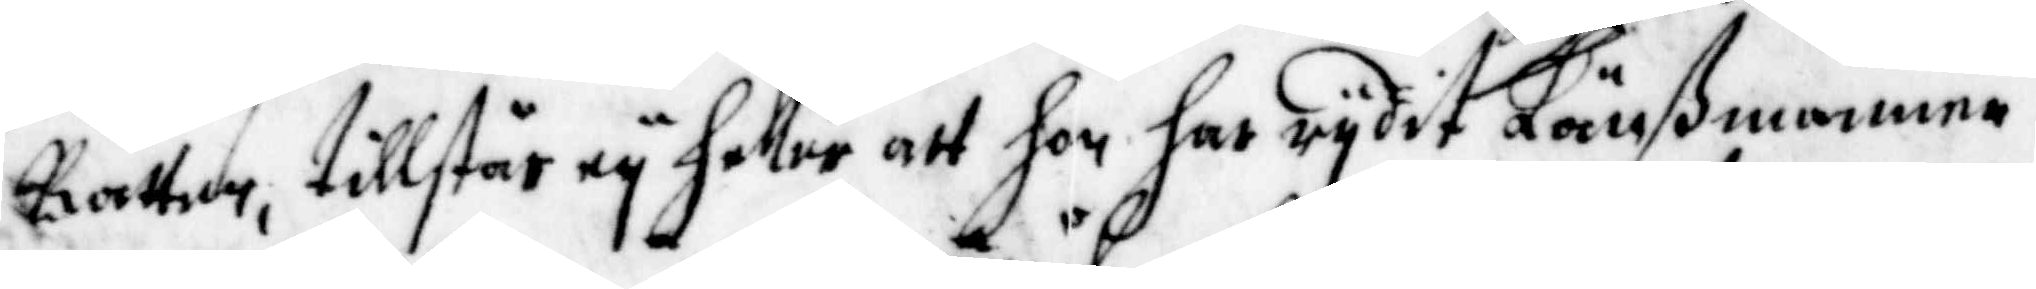Rätten, tillstår ey heller att hon har rydit Länßmannen.
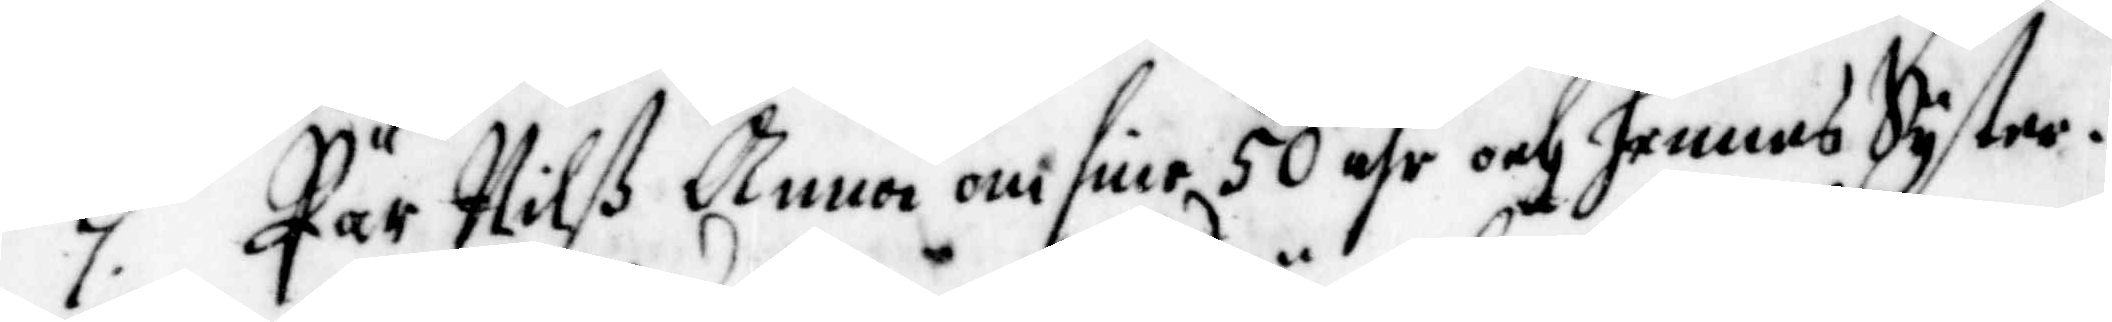7. Pär Nilß Anna om sine 50 åhr och hennes Sster.
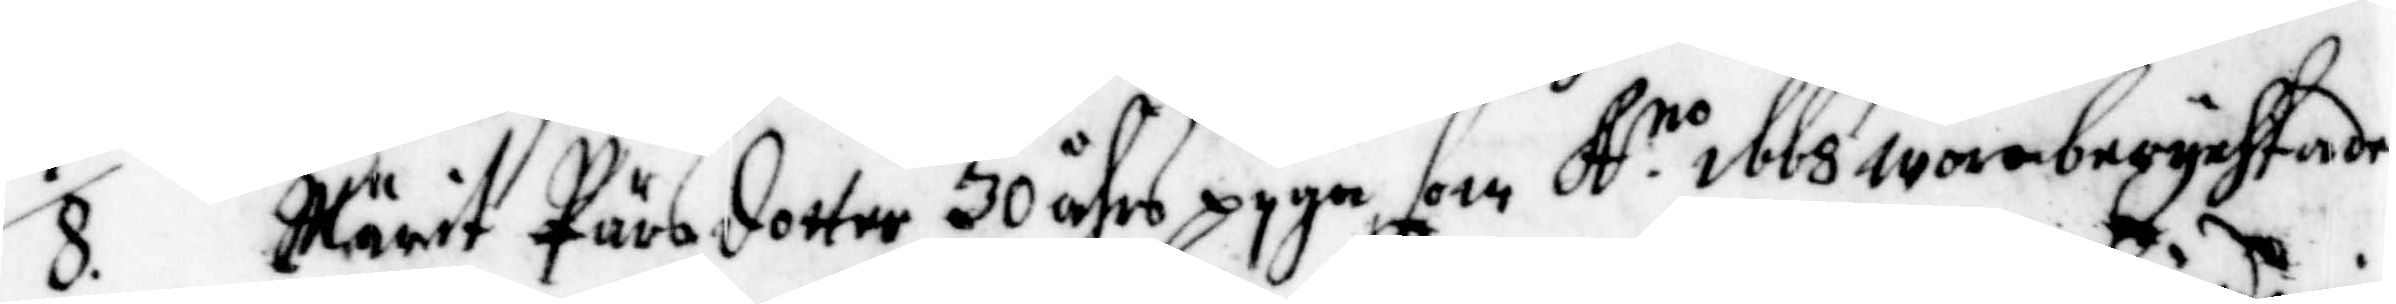8. Märit Pärsdotter 30 åhrs pyga som A. no 1668 wore berychtade
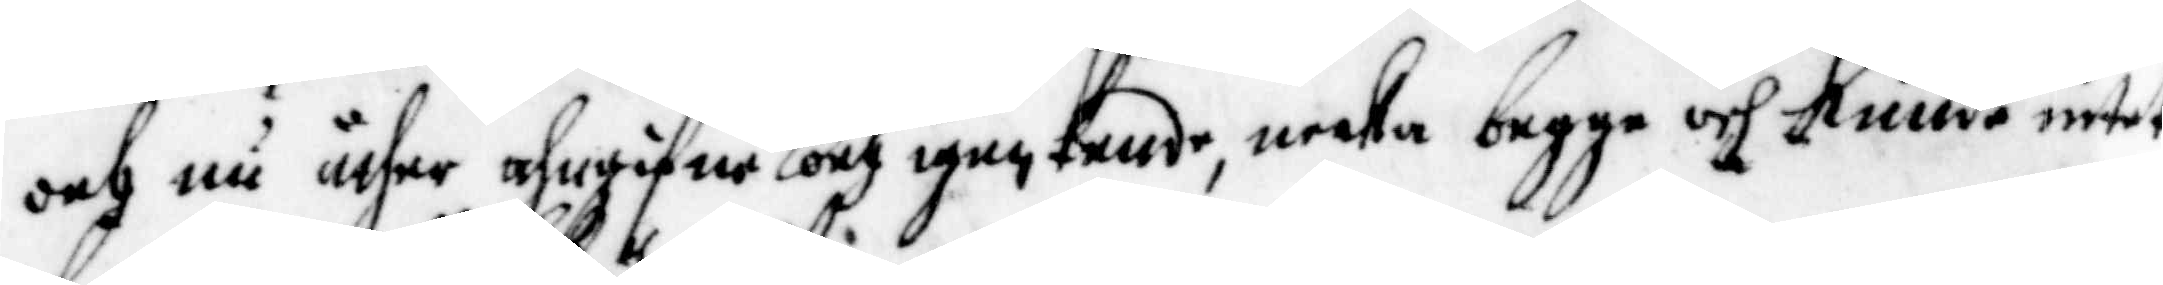och nu ähre ahngifne och igenkende, neeka begge och kunde intet
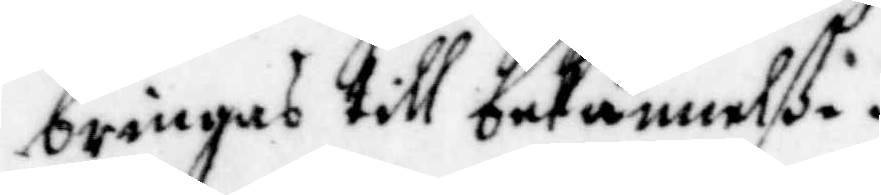bringas till bekännelße.
